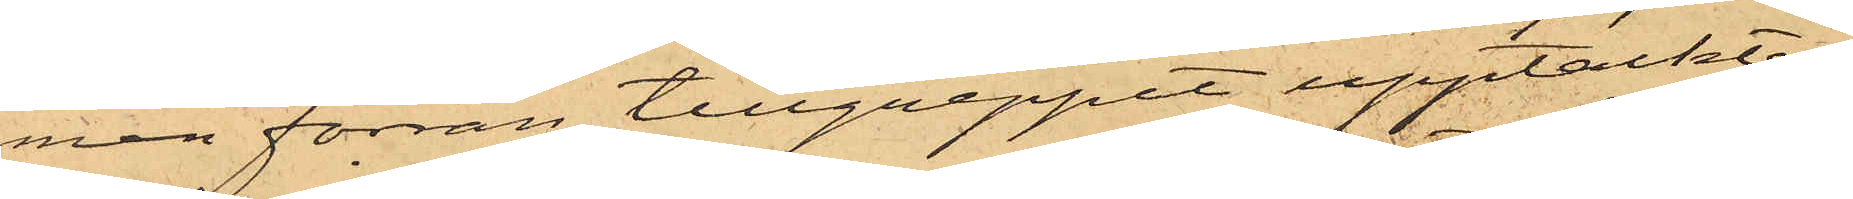men förrän tillgreppet upptäcktes,
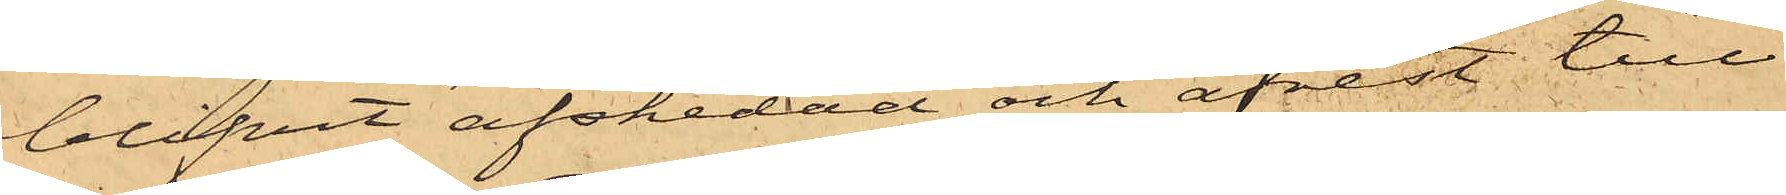blifvit afskedad och afrest till
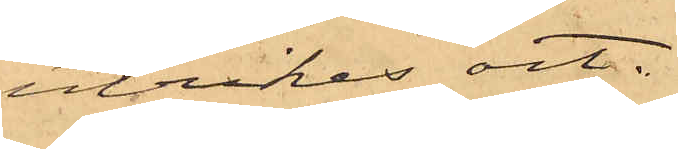utrikes ort.
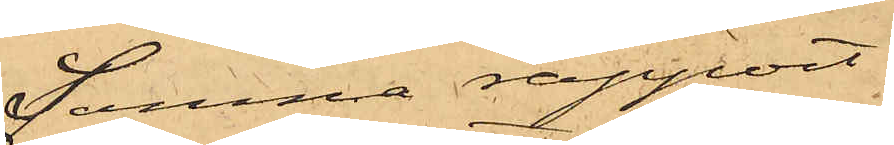Samma rapport
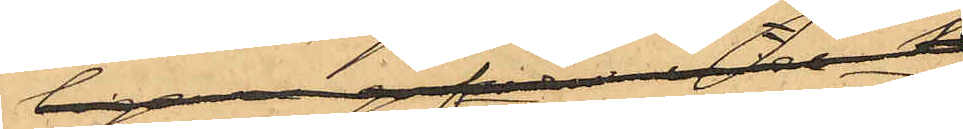upplyser ytterligare, att
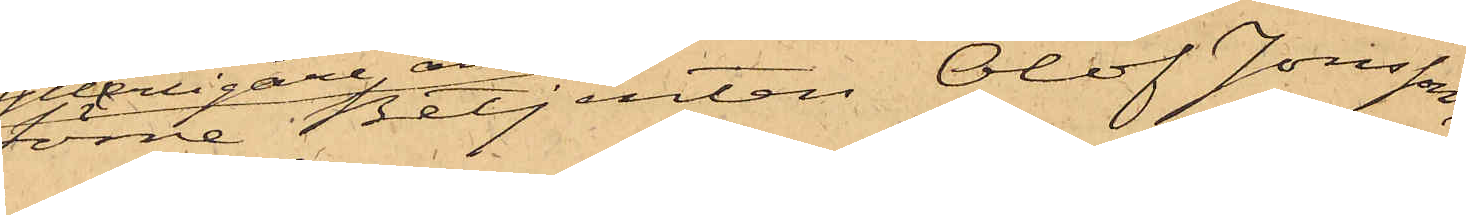förre Betjenten Olof Jonsson,
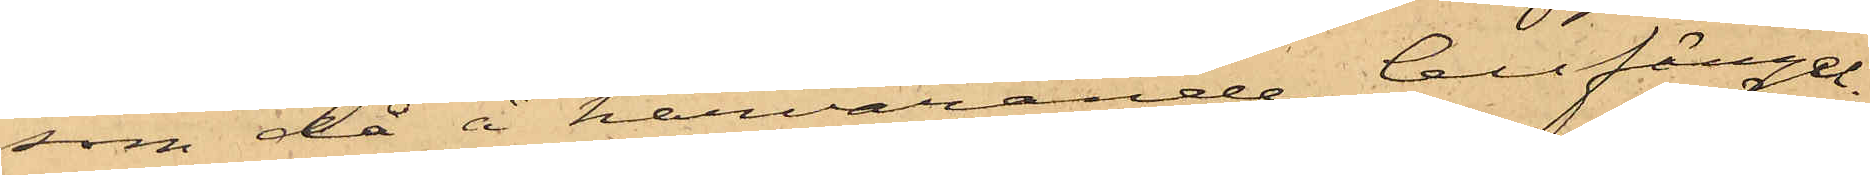som då å härvarande Cellfängel¬
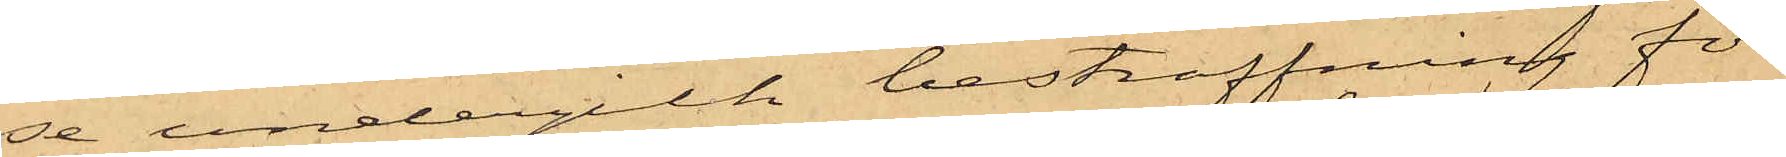se undergick bestraffning för
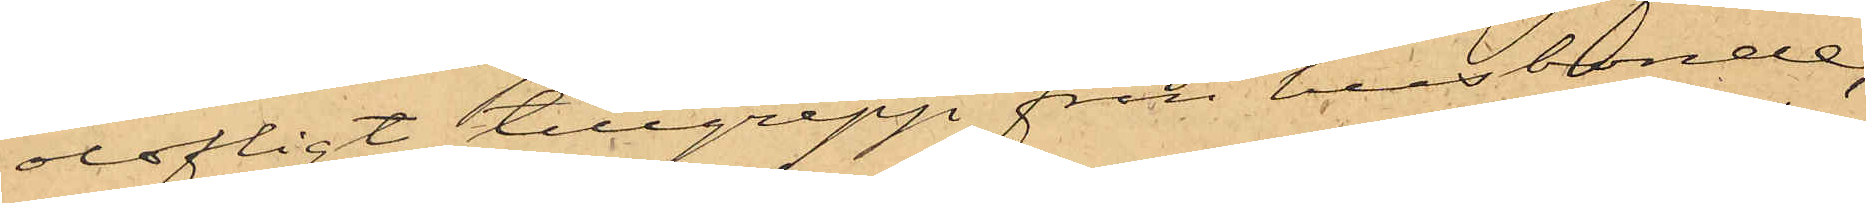olofligt tillgrepp från husbonde,
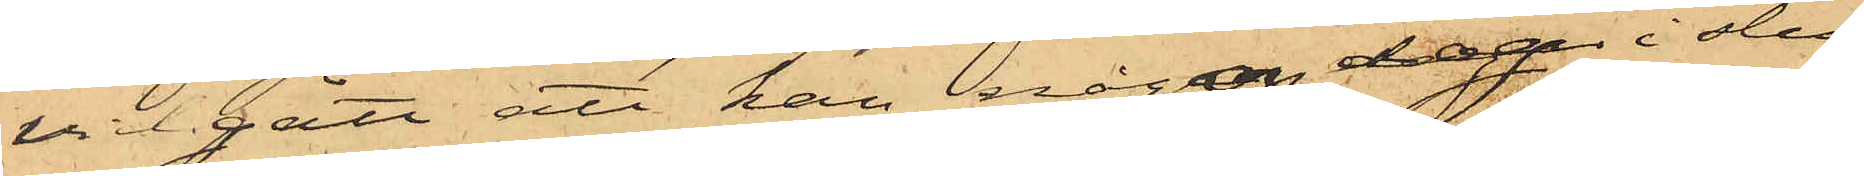vidgått att han någon dag i slu¬
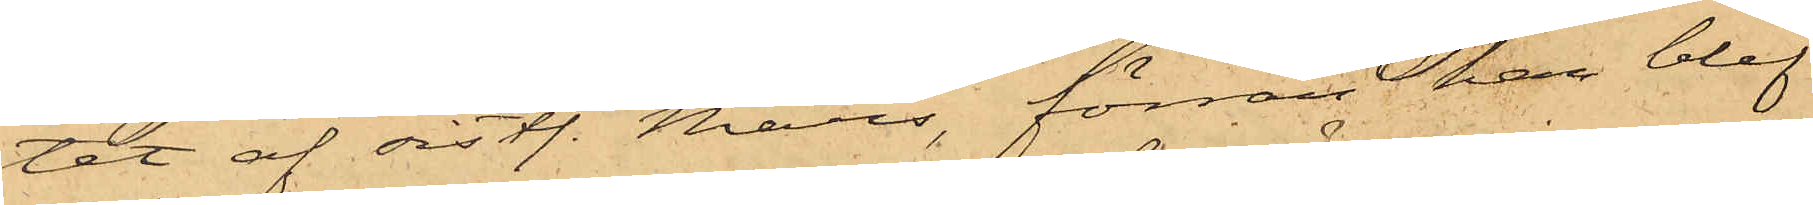tet af sistl. Mars förrän han blef
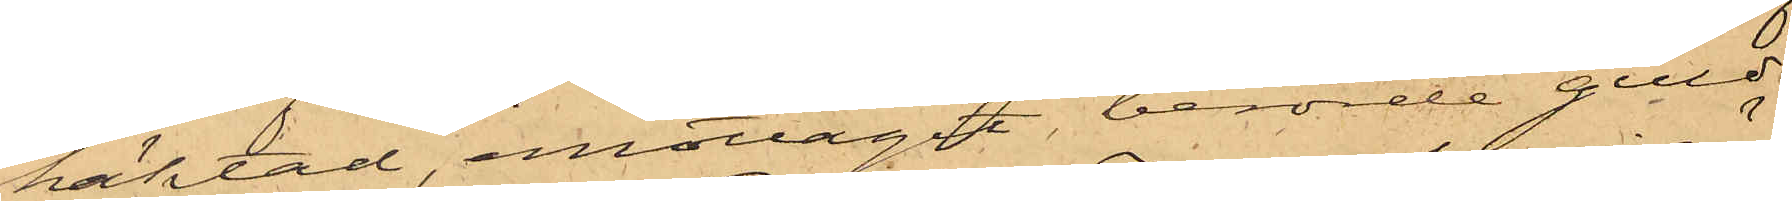häktad, emottagit berörde guld¬
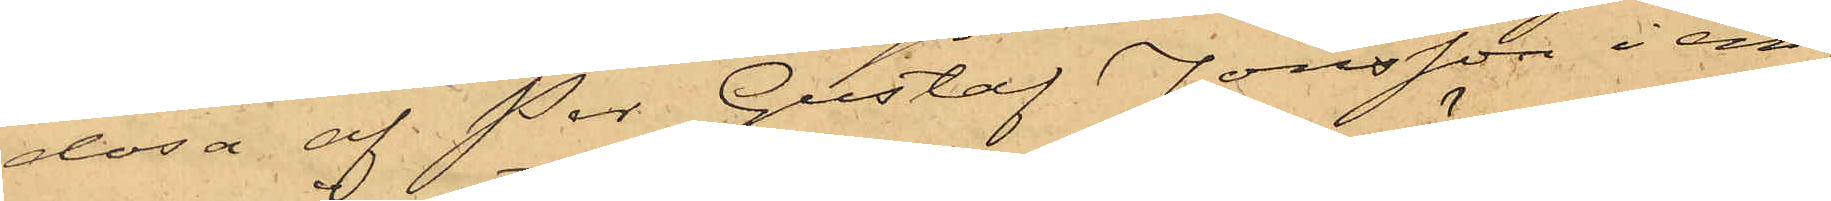dosa af Per Gustaf Jonsson i än¬
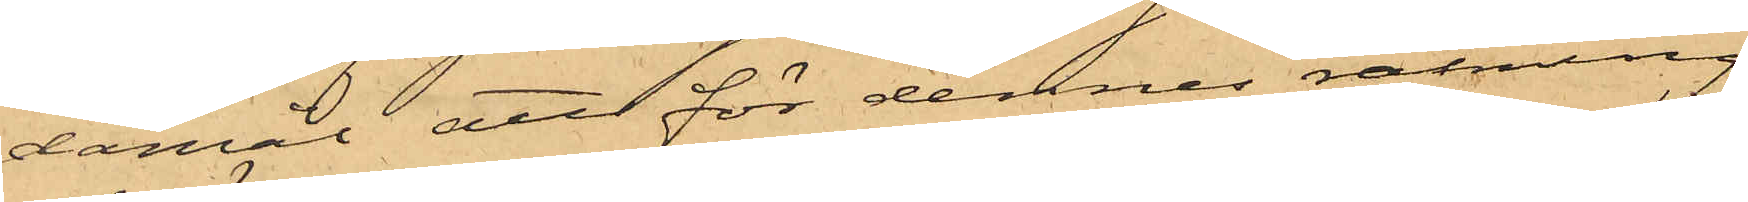damål att för dennes räkning
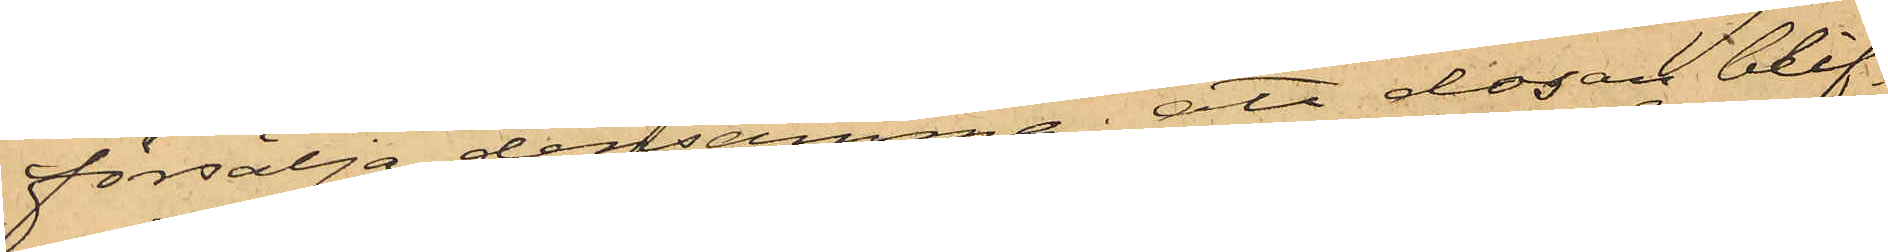försälja densamma; att dosan blif¬
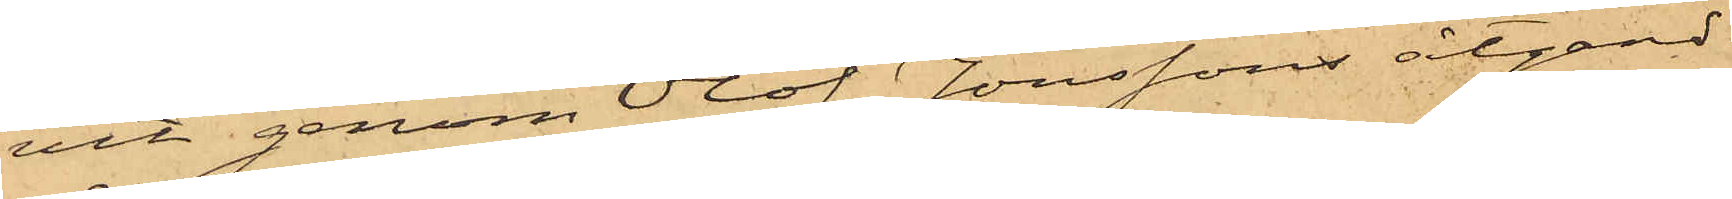vit genom Olof Jonssons åtgärd
